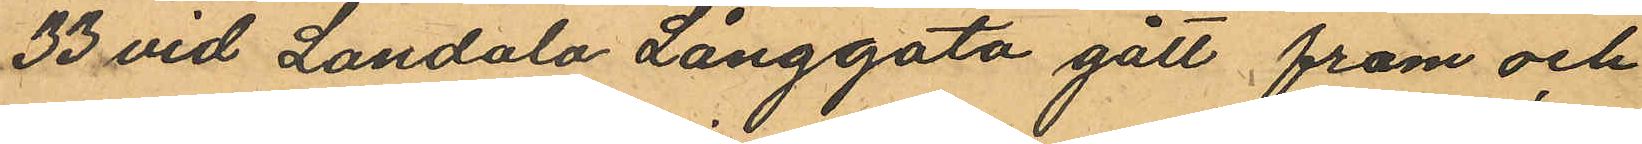33 vid Landala Långgata gått fram och
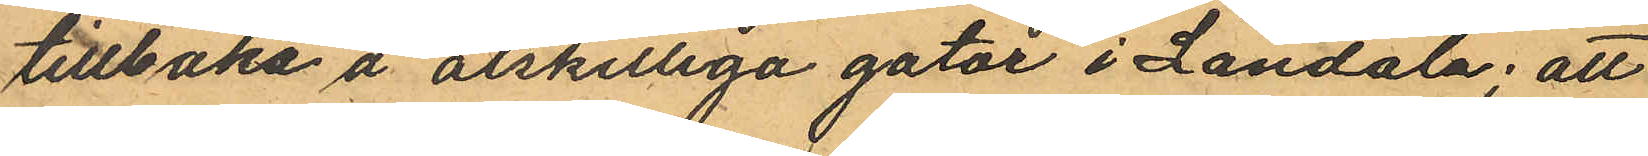tillbaka å åtskilliga gator i Landala; att
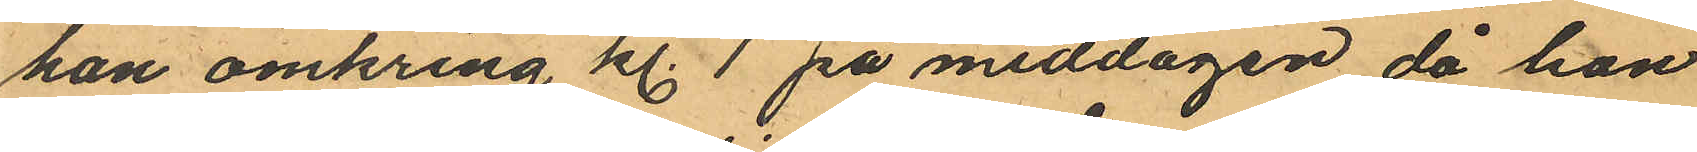han omkring kl. 1 på middagen då han
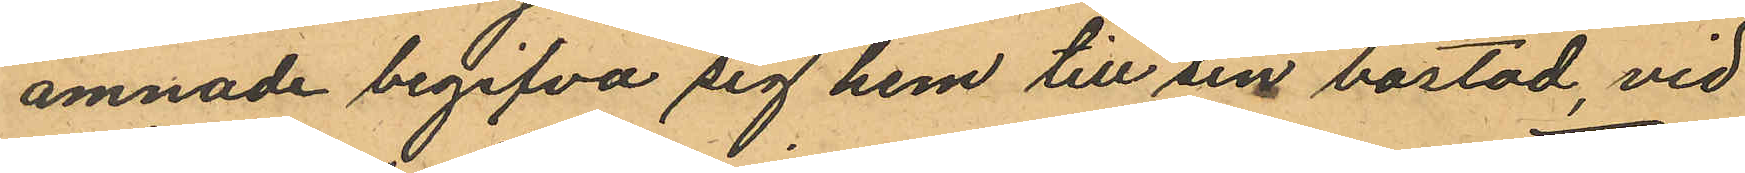ämnade begifva sig hem till sin bostad, vid
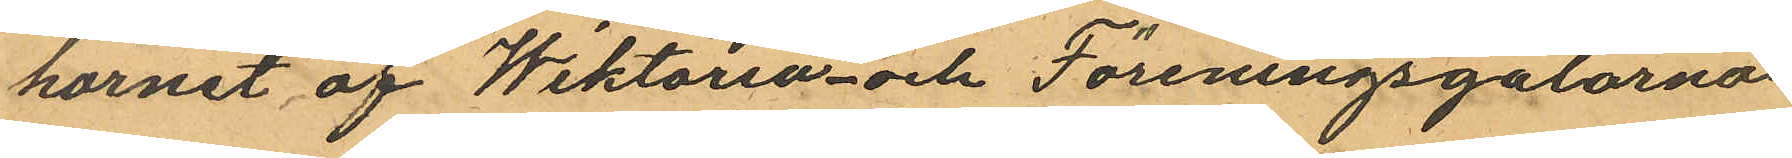hörnet af Wiktoria- och Föreningsgatorna
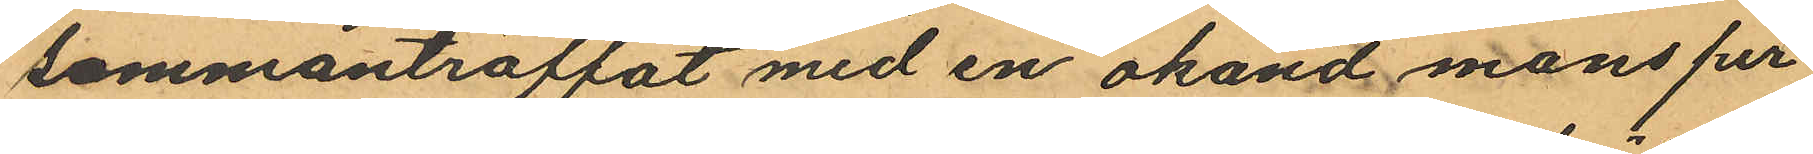sammanträffat med en okänd mansper¬
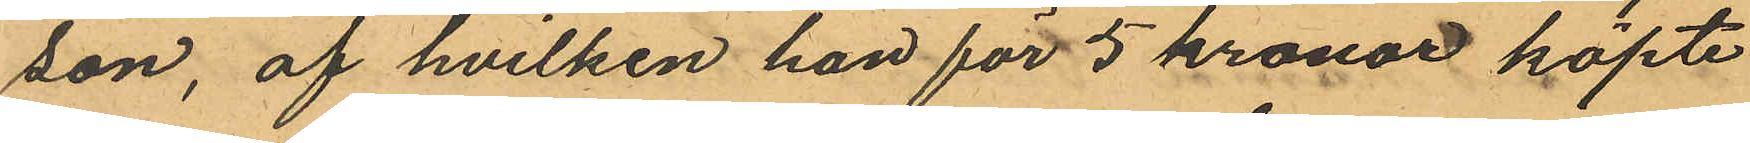son, af hvilken han för 5 kronor köpte
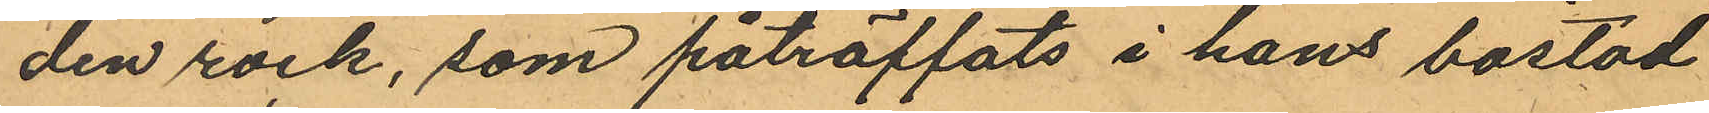den rock, som påträffats i hans bostad
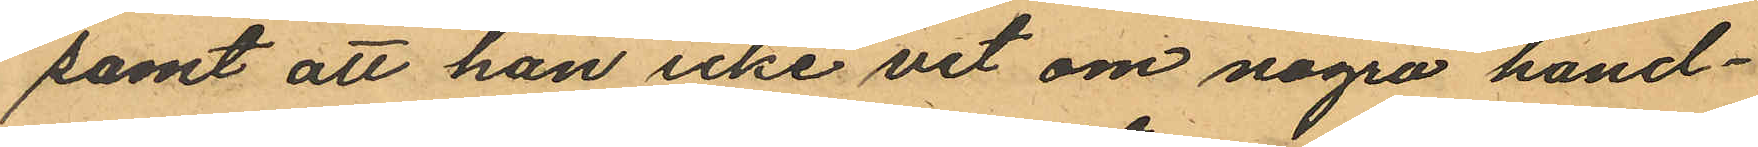samt att han icke vet om några hand¬
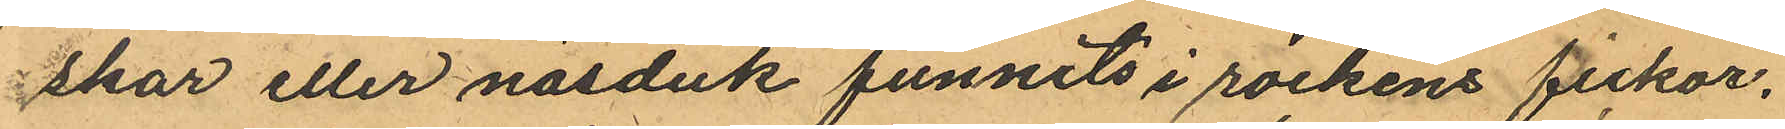skar eller näsduk funnits i rockens fickor.
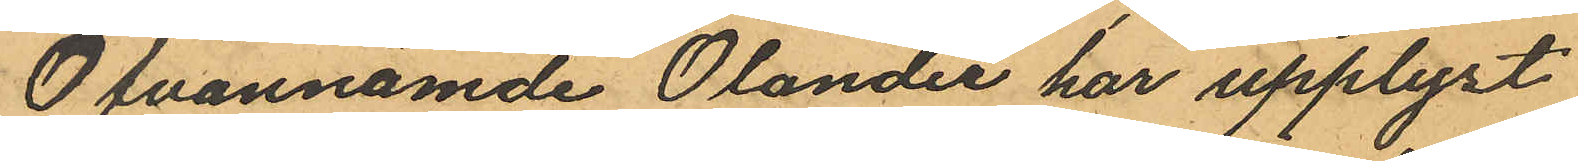Ofvannämde Olander har upplyst
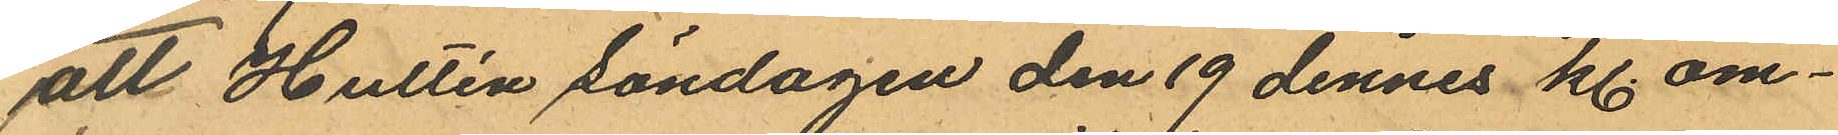att Hultén Söndagen den 19 dennes kl om¬
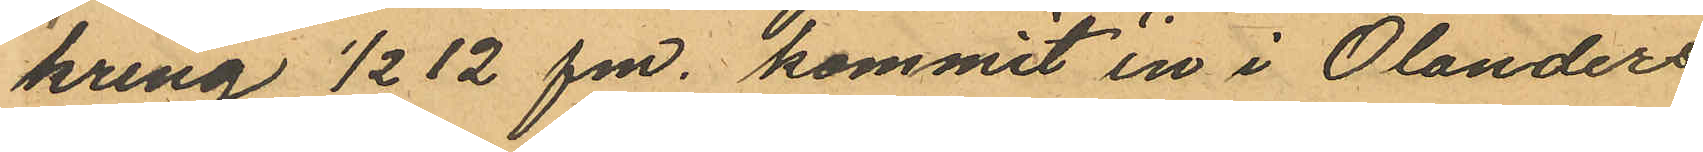kring ½ 12 fm, kommit in i Olanders
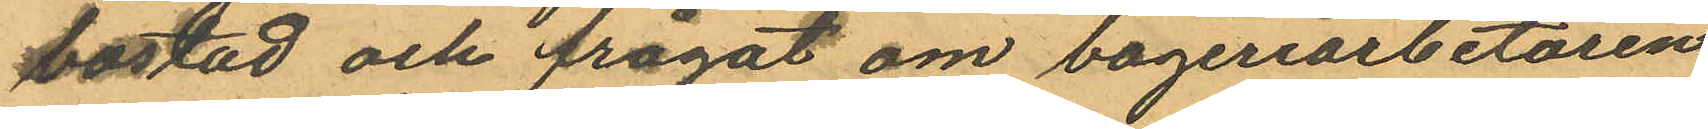bostad och frågat om bageriarbetaren
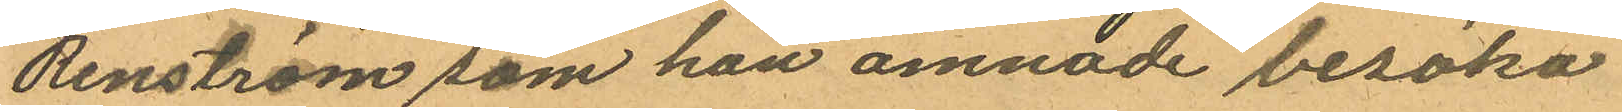Renström som han ämnade besöka
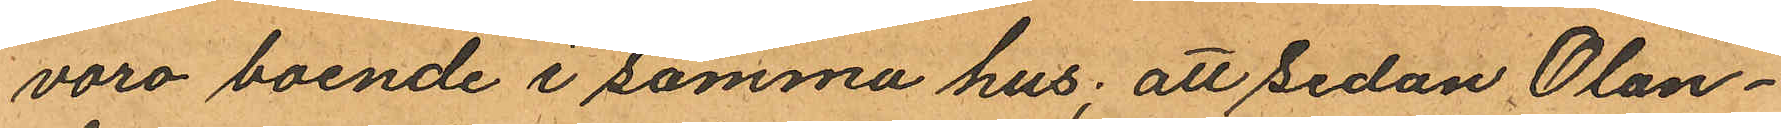voro boende i samma hus; att sedan Olan¬
